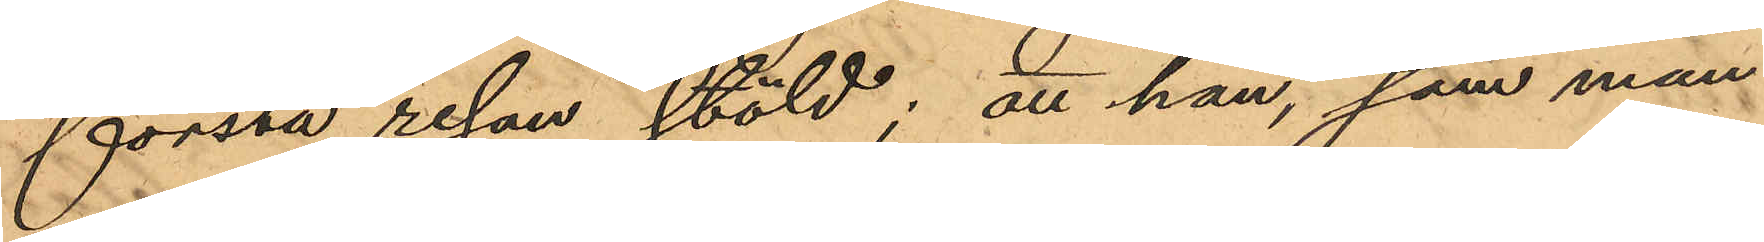första resan stöld; att han, som mån¬
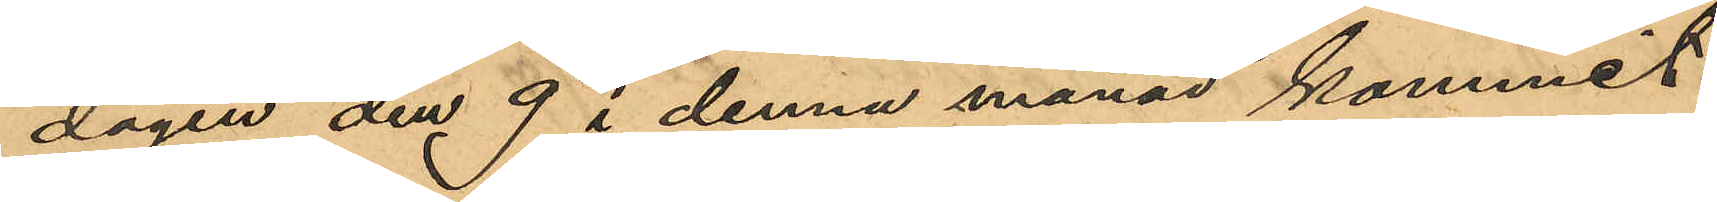dagen den 9 i denna månad kommit
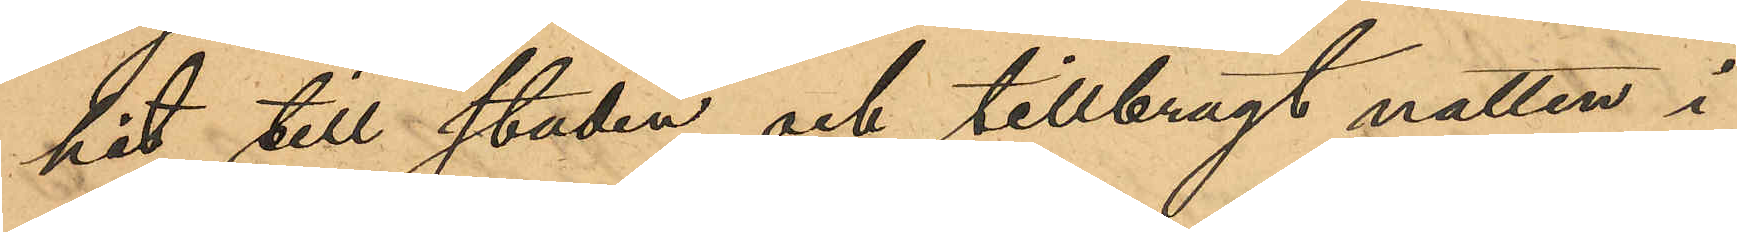hit till staden och tillbragt natten i
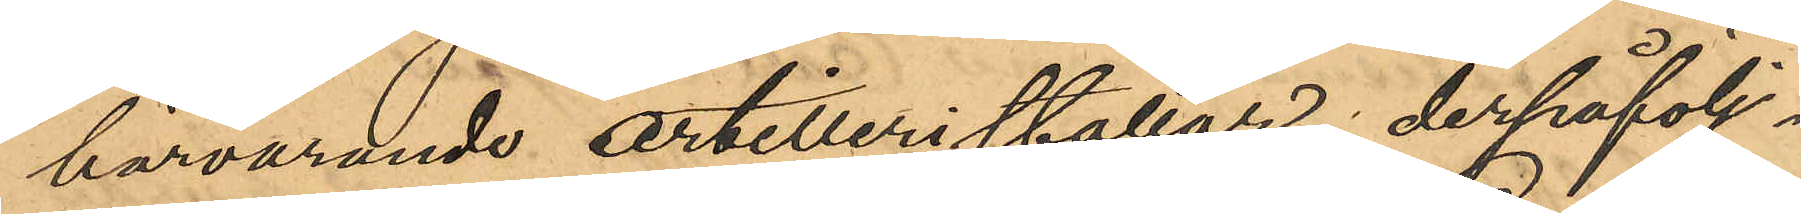härvarande artilleristallar, derpåfölj¬
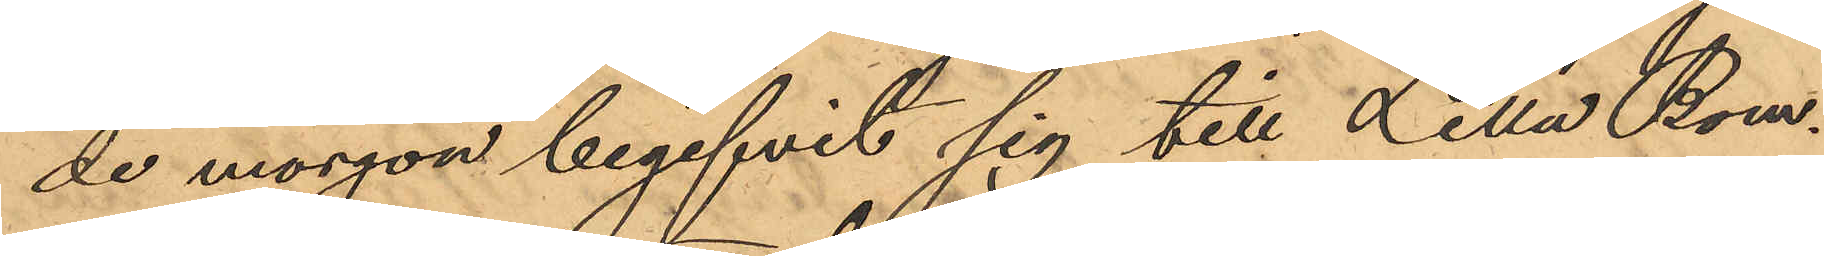de morgon begifvit sig till Lilla Bom¬
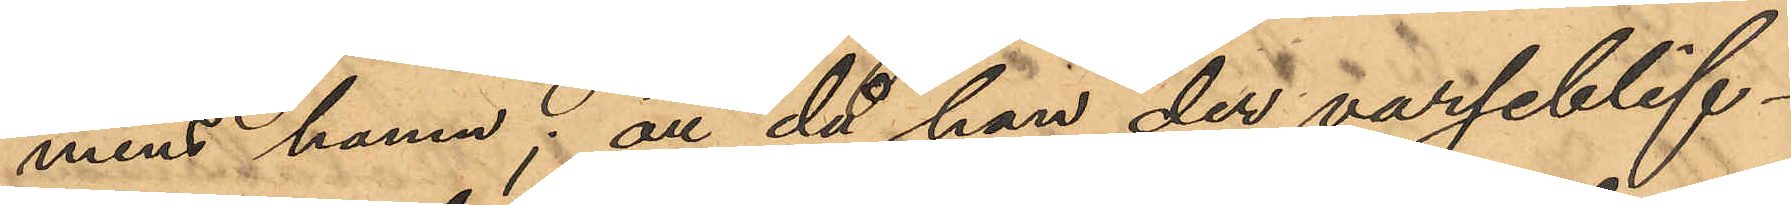mens hamn; att då han der varseblif¬
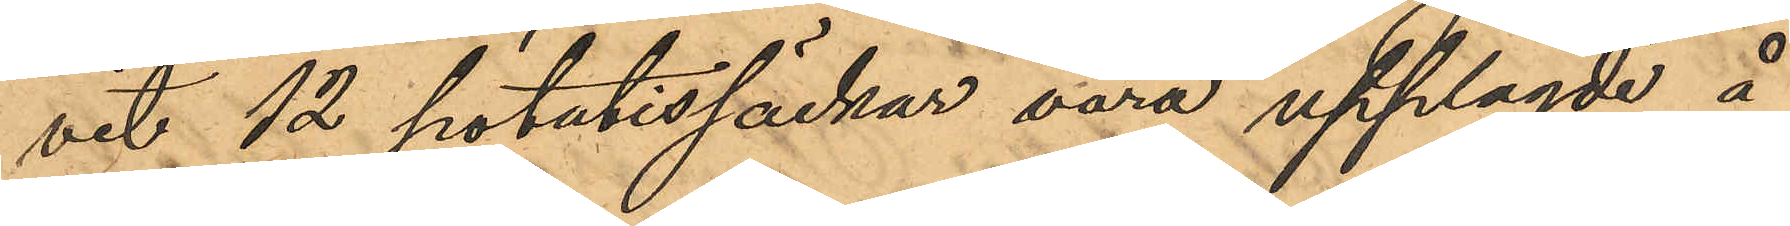vit 12 potatissäckar vara upplagde å
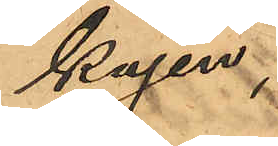kajen,
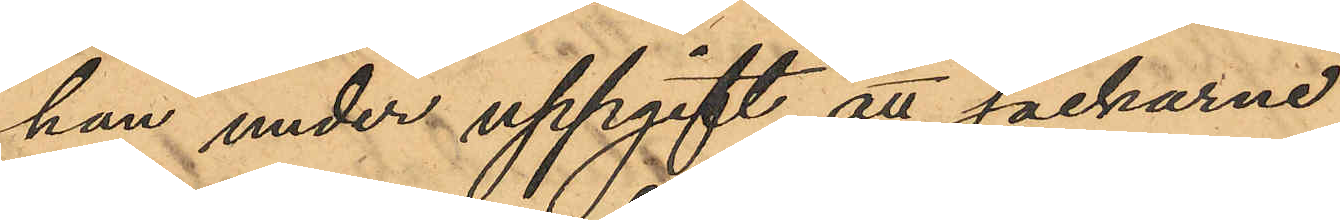han under uppgift att säckarne
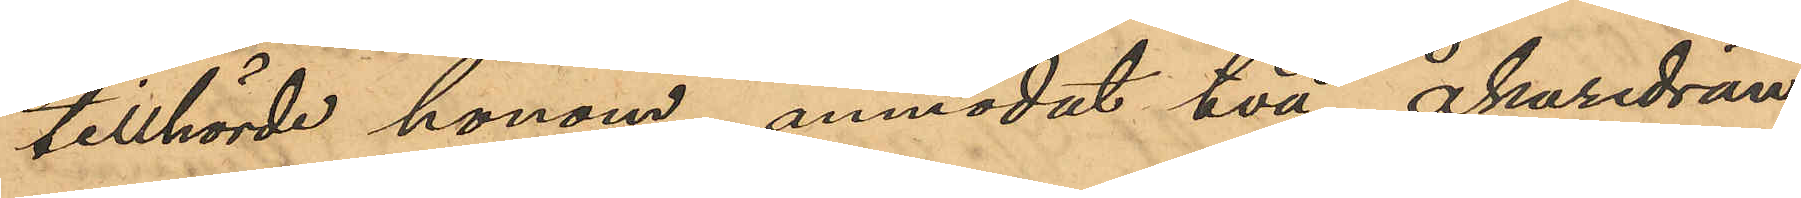tillhörde honom, anmodat två åkaredrän¬
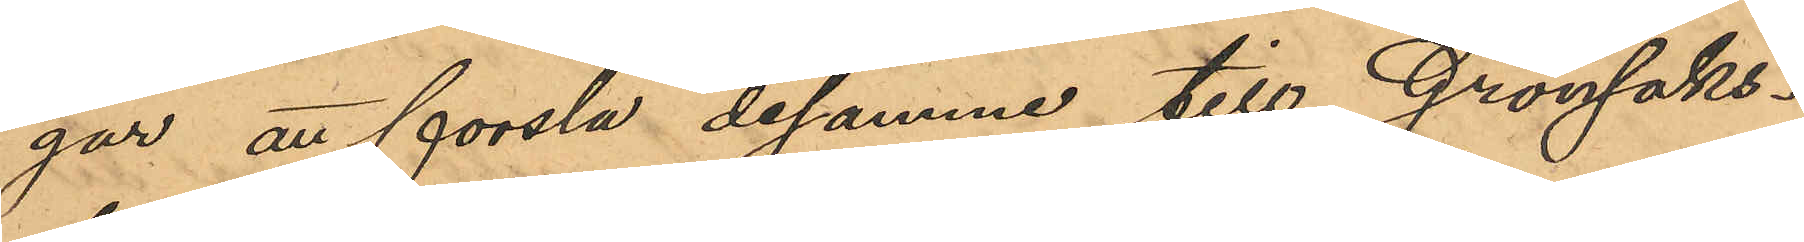gar att forsla desamme till Grönsaks¬
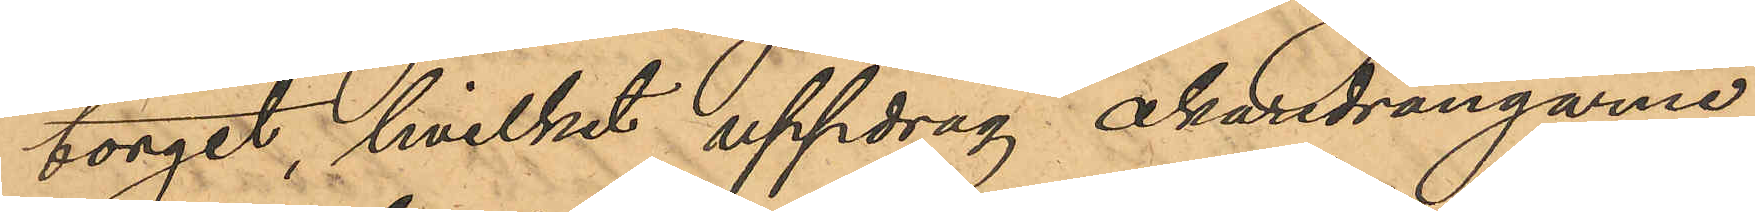torget, hvilket uppdrag åkaredrängarne
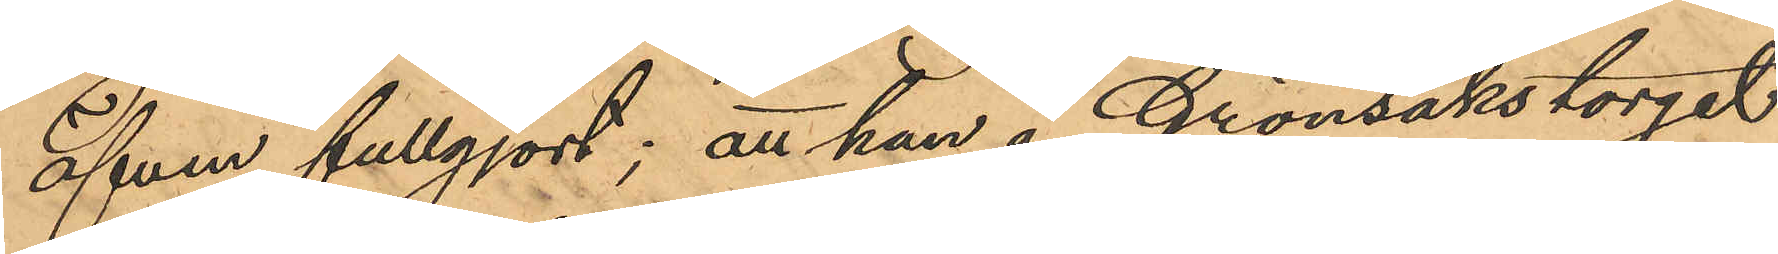äfven fullgjort; att han å Grönsakstorget
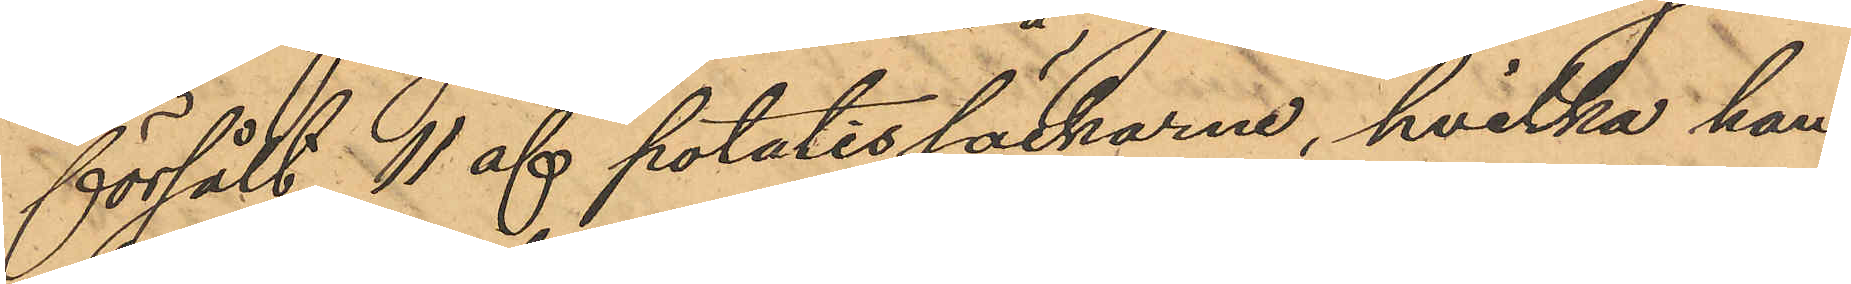försålt 11 af potatissäckarne, hvilka han
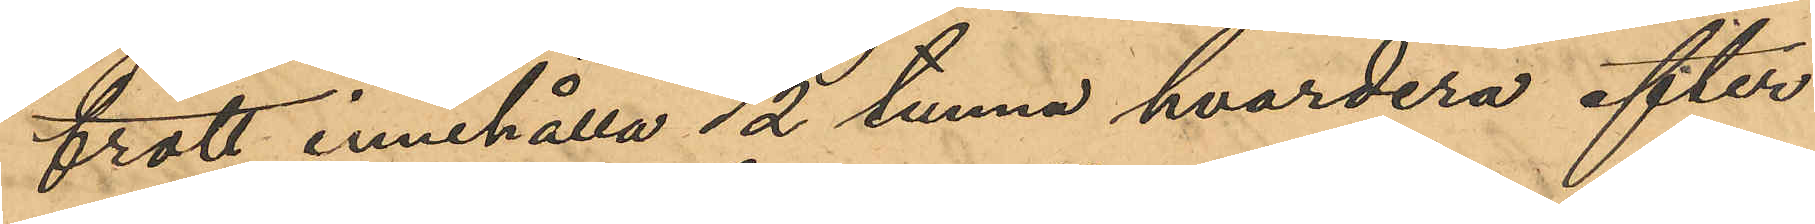trott innehålla ½ tunna hvardera efter
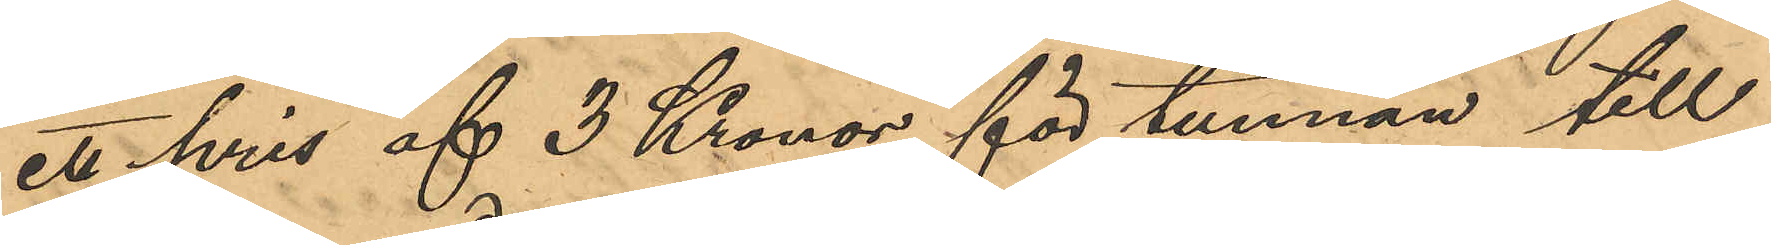ett pris af 3 Kronor för tunnan till
